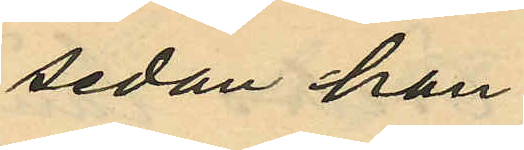sedan han
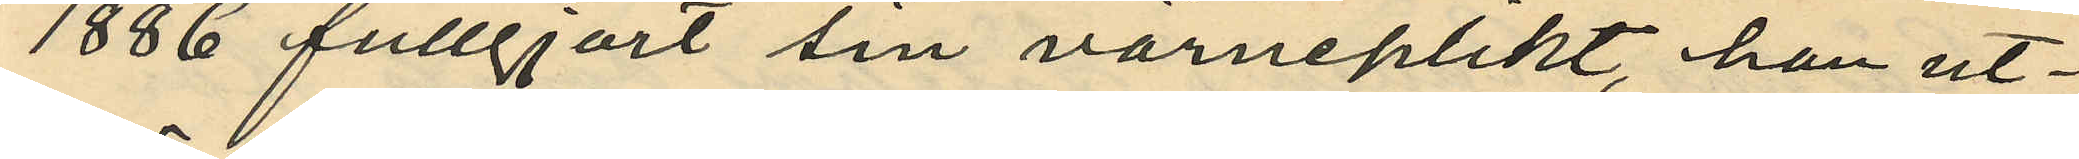1886 fullgjort sin värneplikt, han ut¬
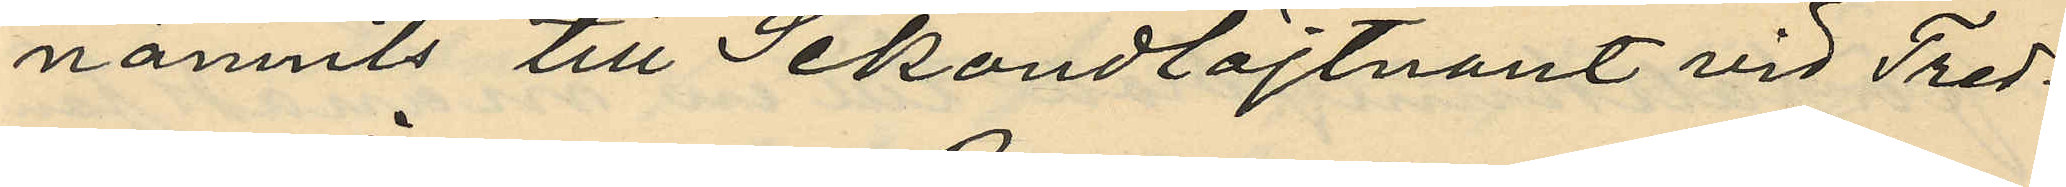nämnts till Sekondlöjtnant vid Tred¬
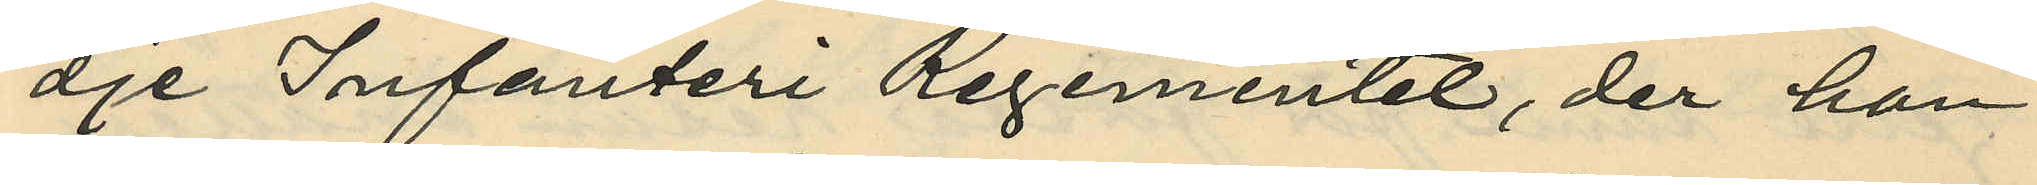dje Infanteri Regementet, der han
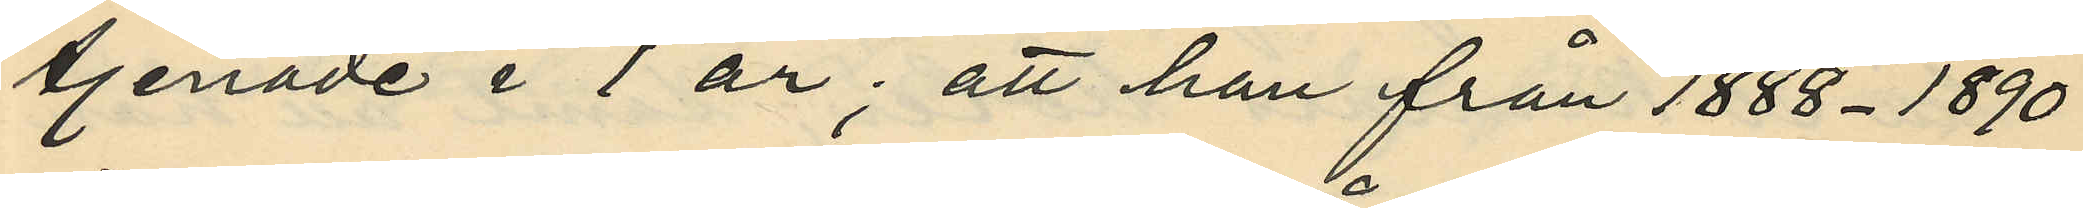tjenade i 1 år; att han från 1888-1890
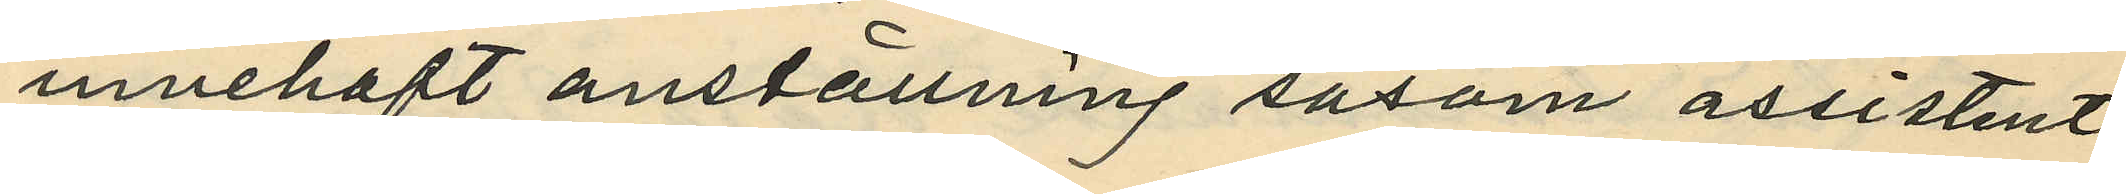innehaft anställning såsom assistent
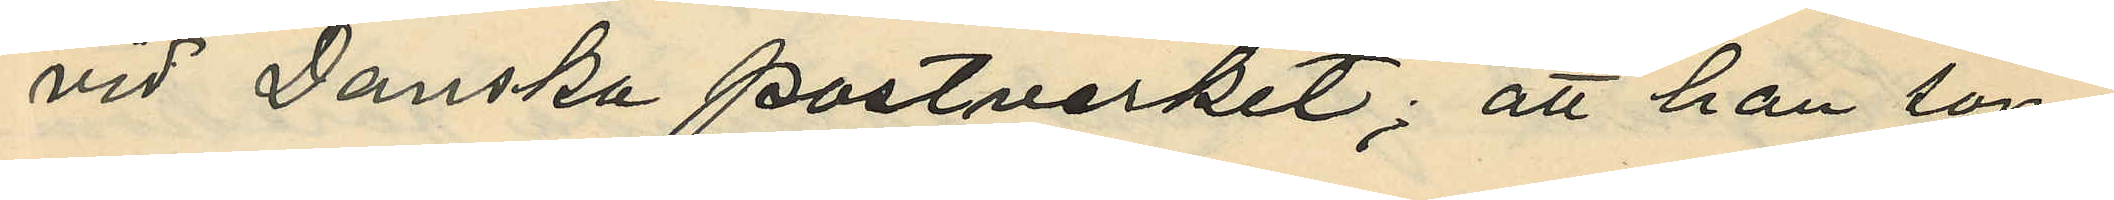vid Danska postverket; att han som
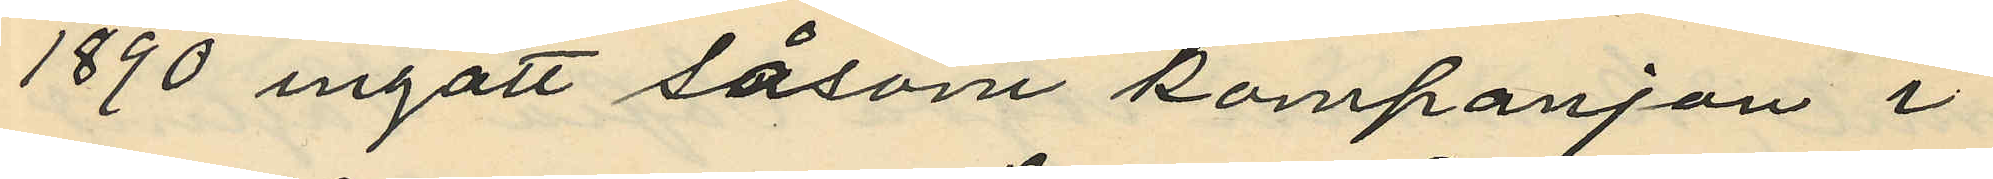1890 ingått såsom kompanjon i
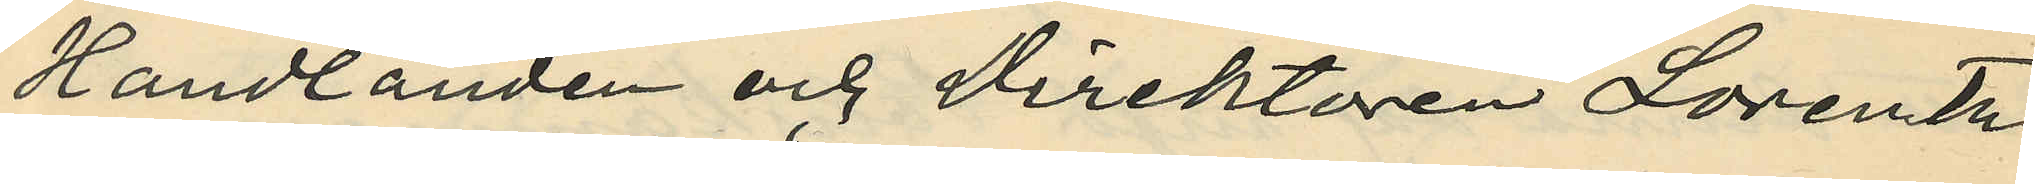Handlanden och Direktören Lorentz
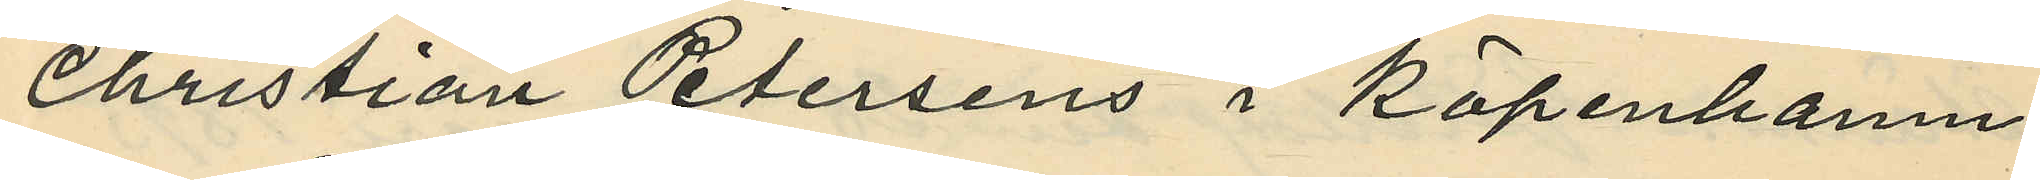Christian Petersens i Köpenhamn
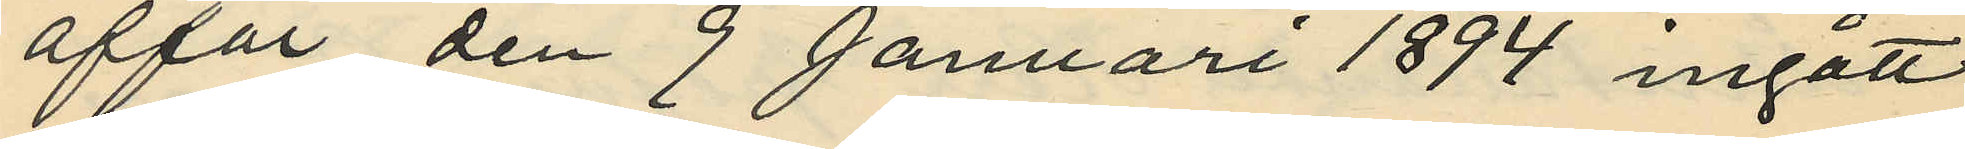affär, den 9 Januari 1894 ingått
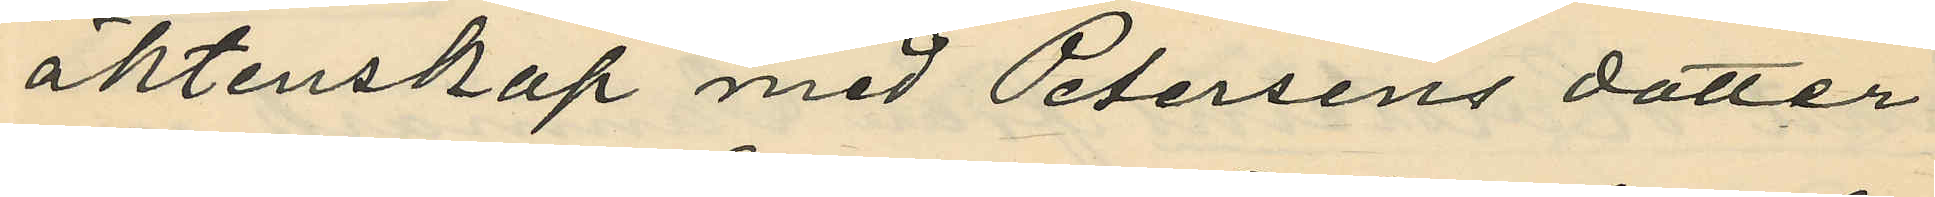äktenskap med Petersens dotter
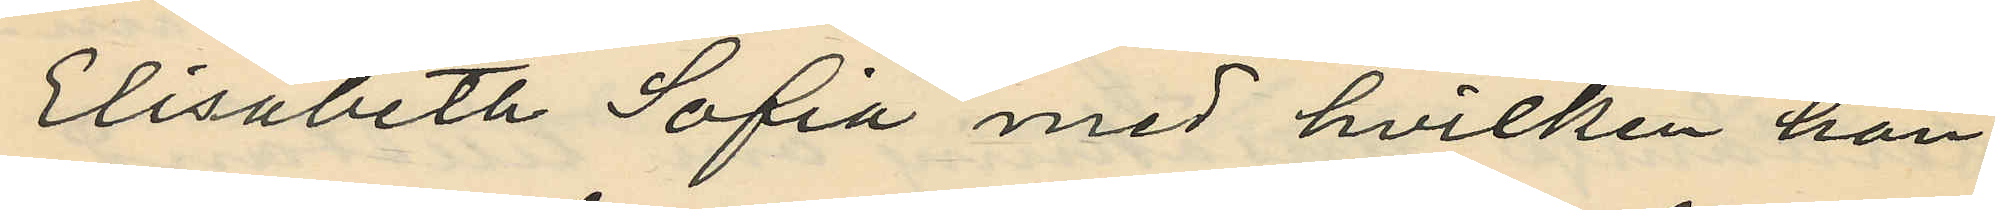Elisabeth Sofia med hvilken han
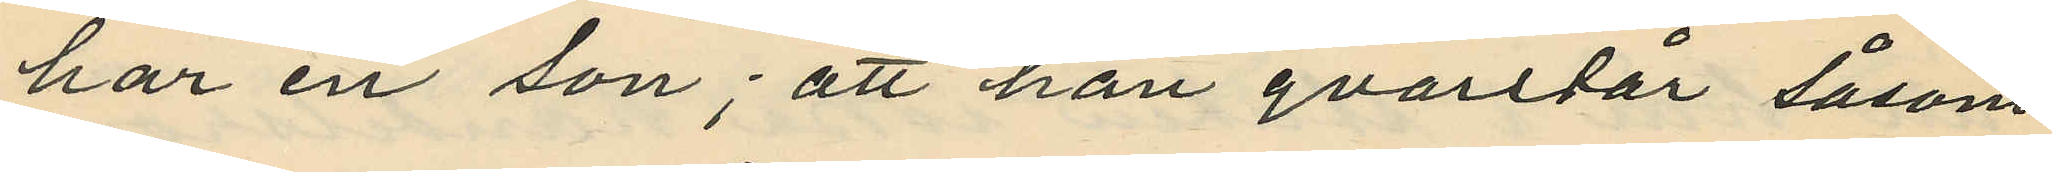har en son; att han qvarstår såsom
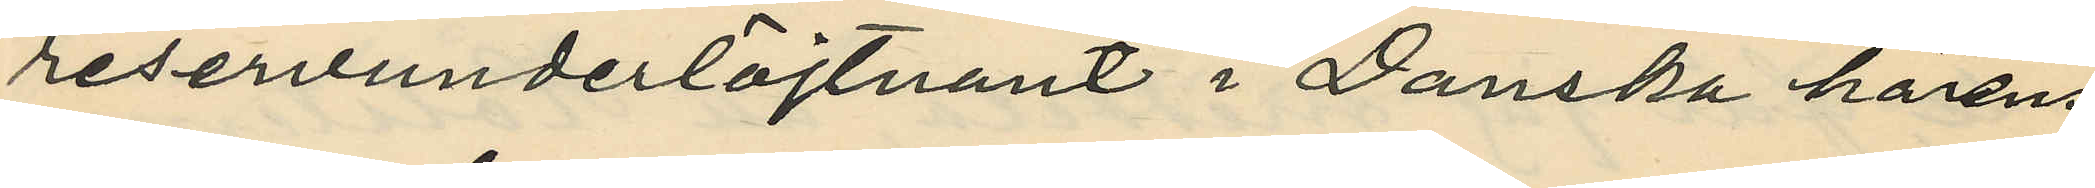reservunderlöjtnant i Danska härens
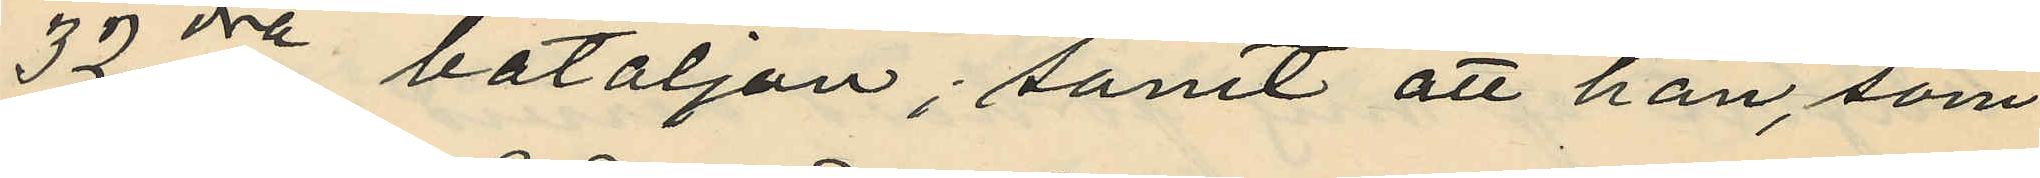32dre bataljon; samt att han, som
